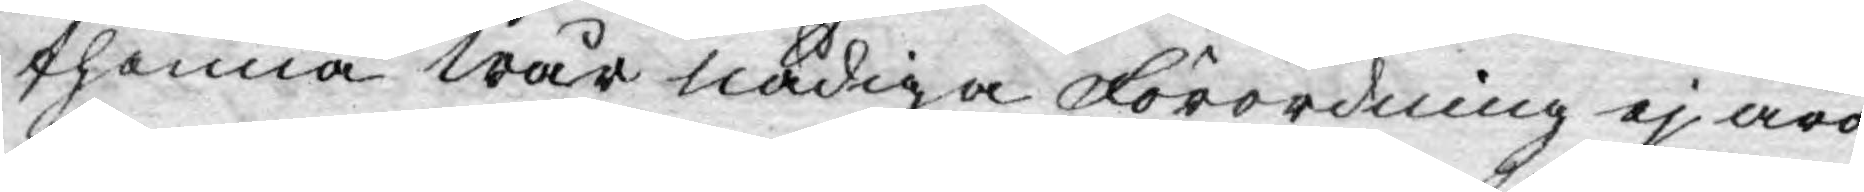thenna wår nådiga Förordning ej äro
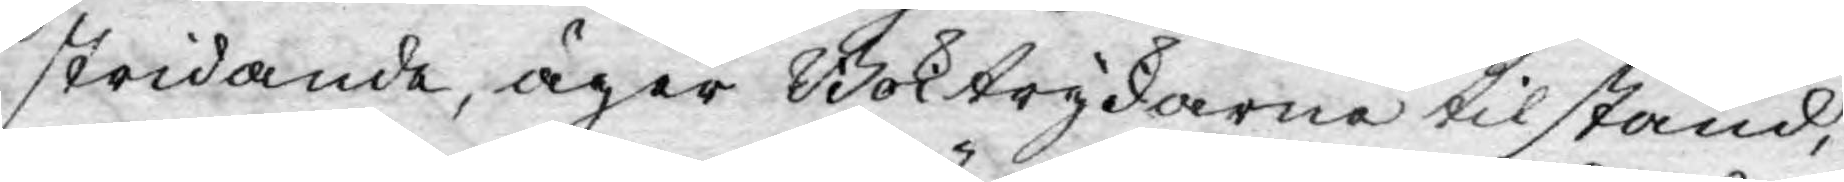stridande, äger Boktryckarne tilstånd,
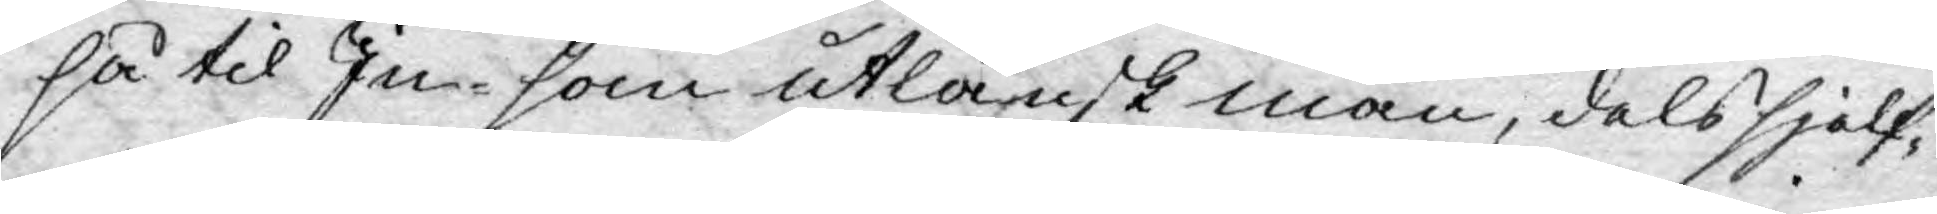så til In- som Utlänsk man, dels sjelf¬
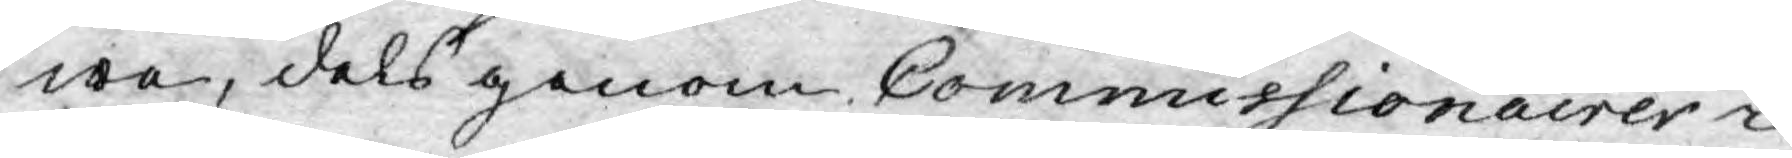wa, dels genom Commissionairer i
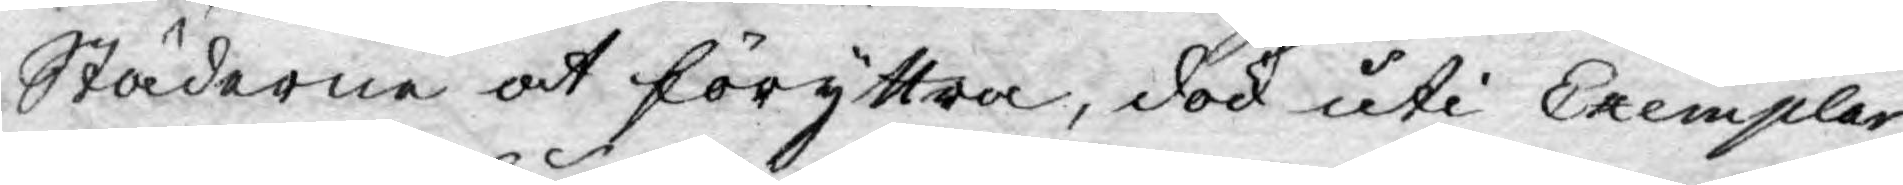Städerne at föryttra, dock uti Exemplar
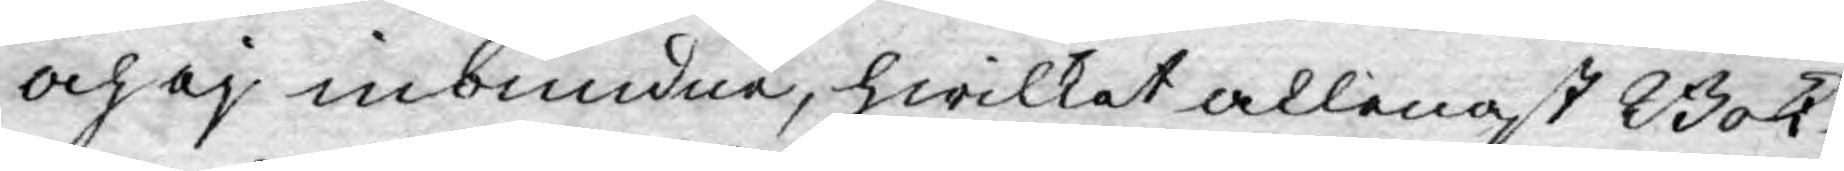och ej inbundne, hwilket allenast Bok¬
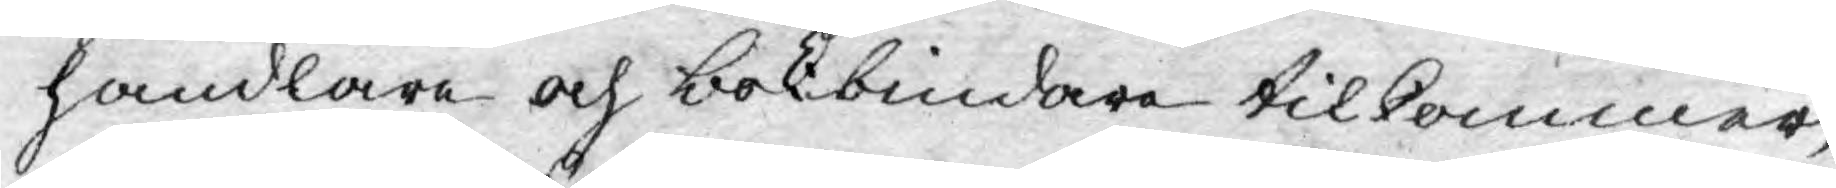handlare och bokbindare tilkommer,
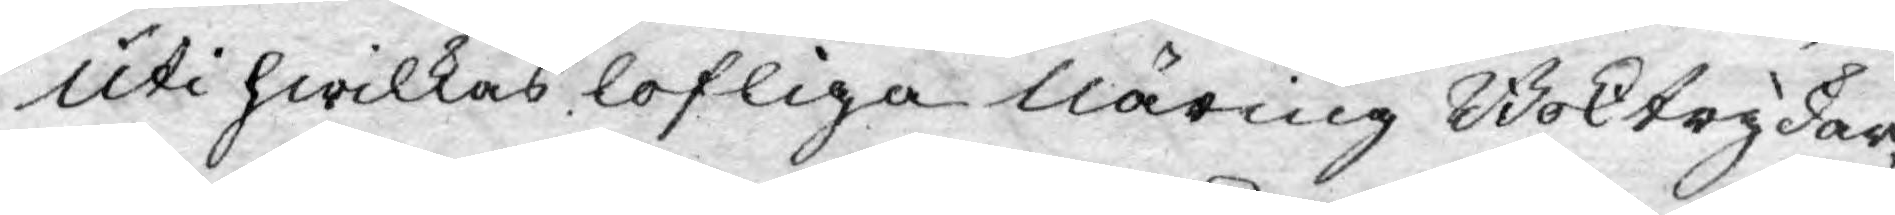Uti hwilkas lofliga näring Boktryckar¬
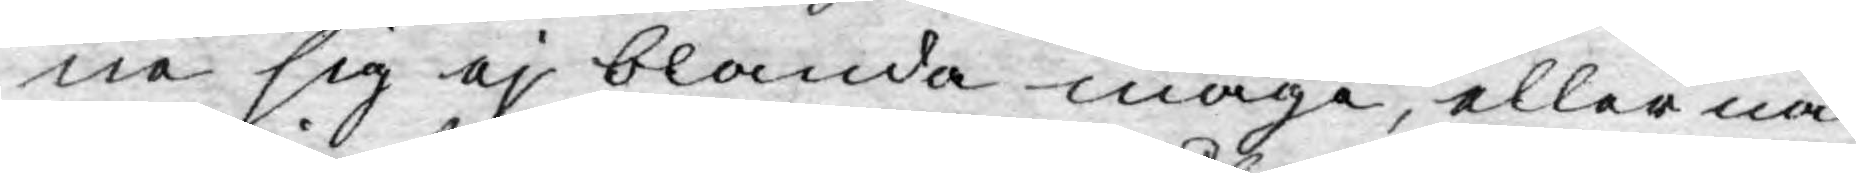ne sig ej blanda måge, eller nå¬
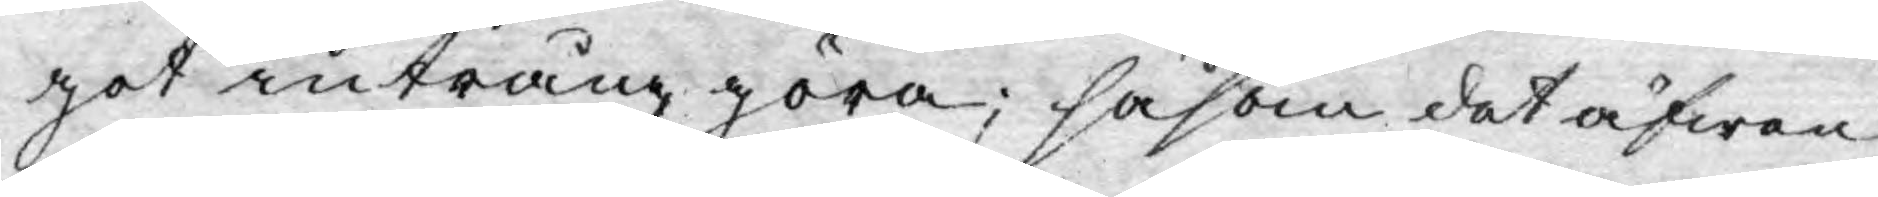got intrång göra; såsom det äfwen
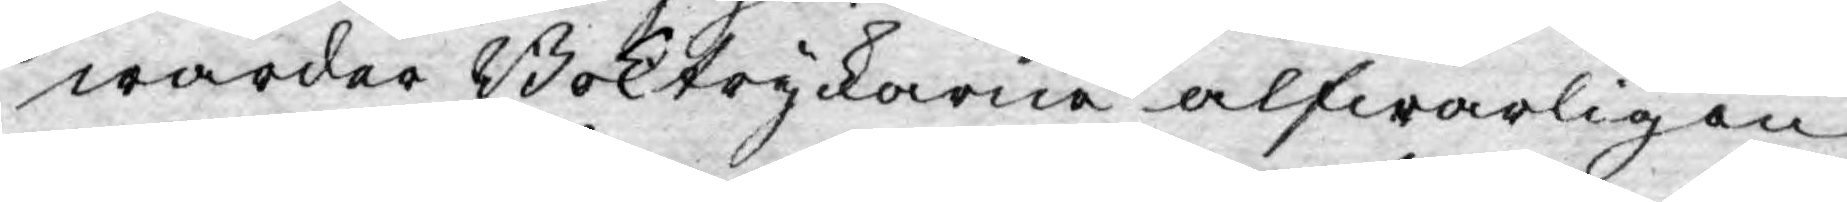warder Boktryckarne alfwarligen
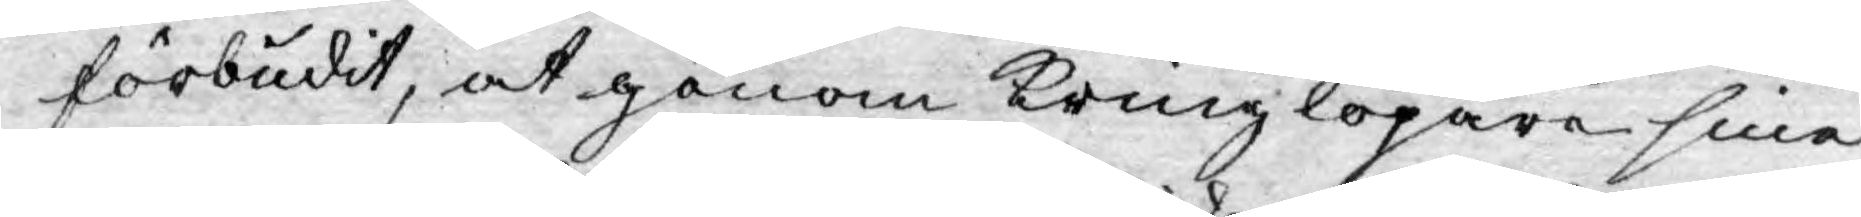förbudit, at genom kringlöpare sina
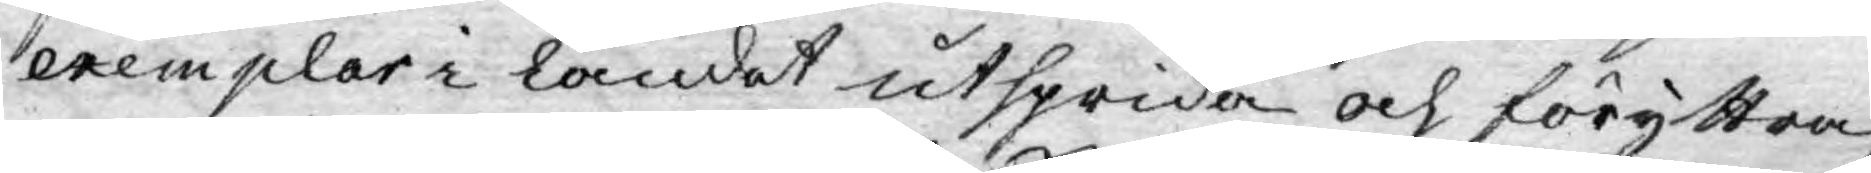exemplar i landet utsprida och föryttra;
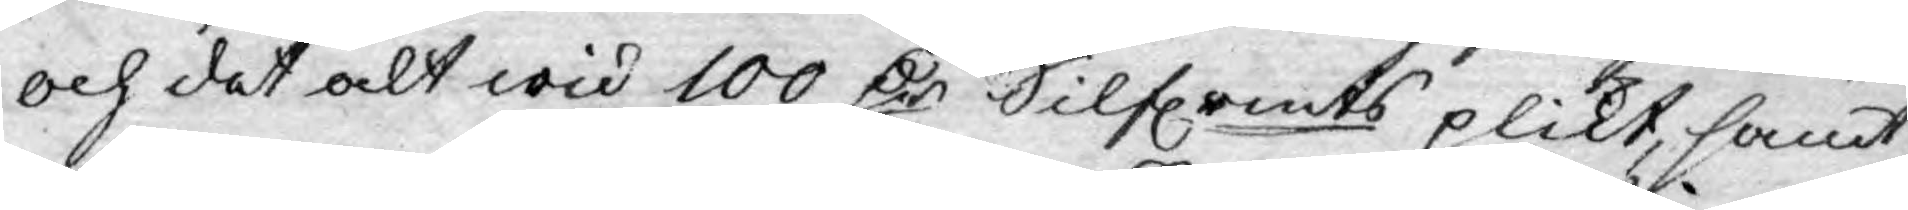och det alt wid 100 D:r Silfrmts plikt, samt
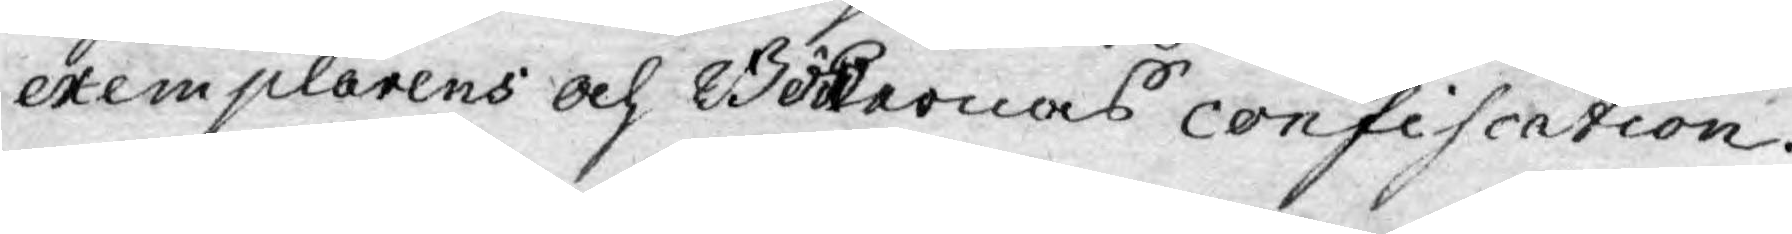exemplarens och Böckernas confiscation.
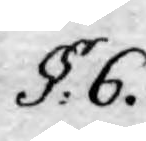§: 6.
